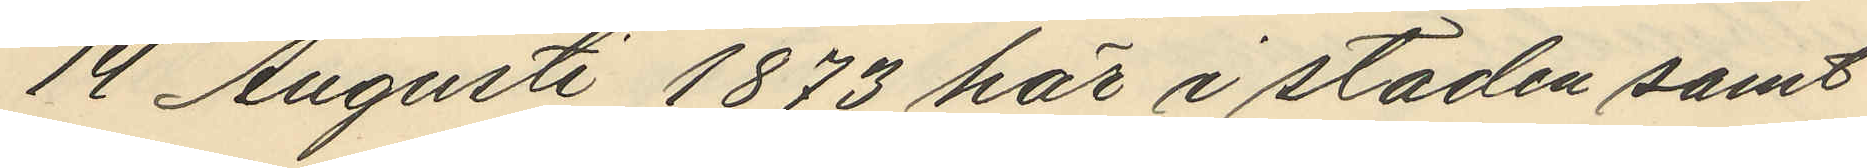14 Augusti 1873 här i staden samt
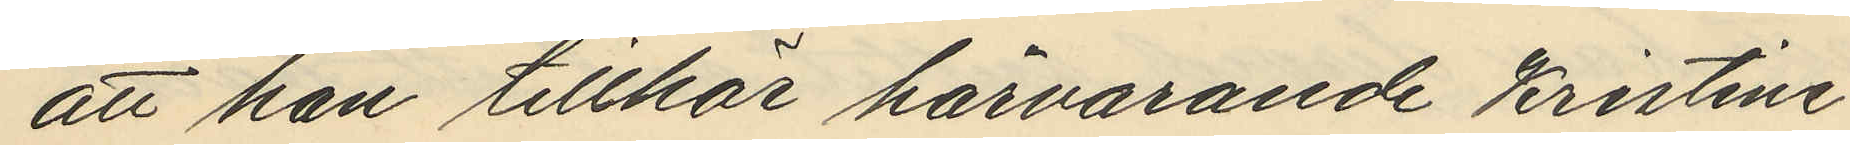att han tillhör härvarande Kristine
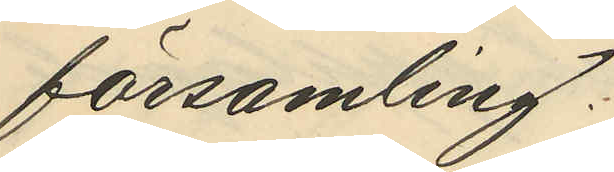församling.
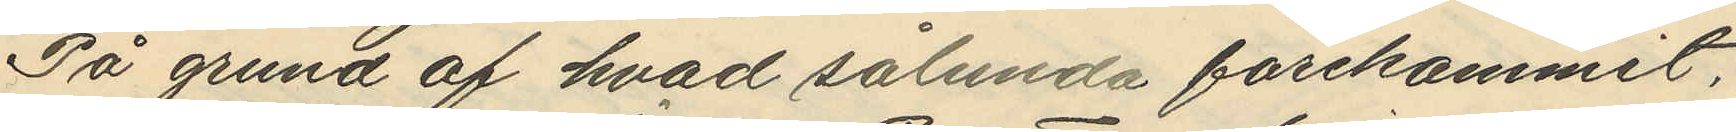På grund af hvad sålunda förekommit,
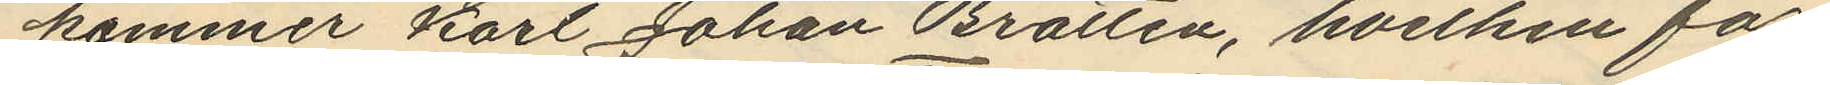kommer Karl Johan Brattén, hvilken för¬
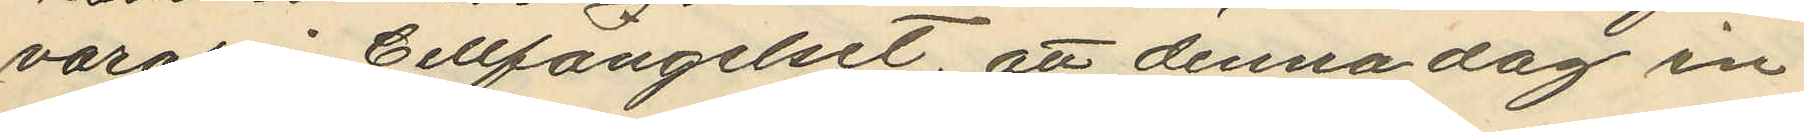varas Cellfängelset, att denna dag in¬
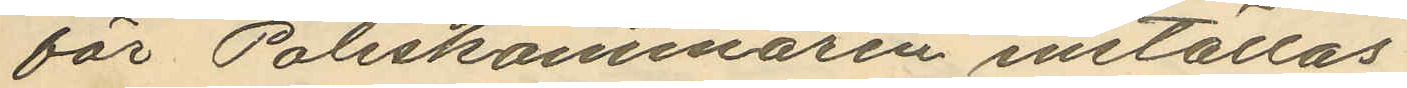för Poliskammaren inställas.
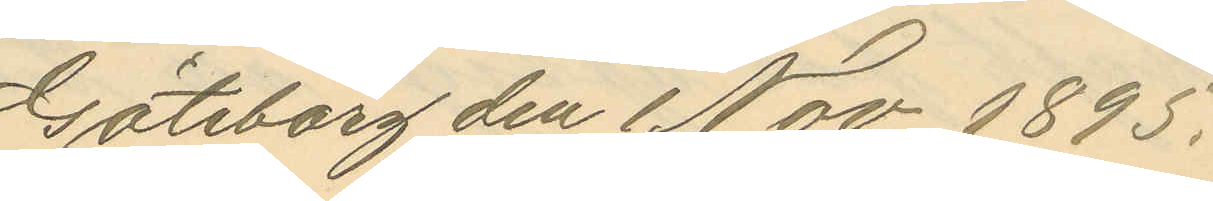Göteborg den 1 Nov. 1895.
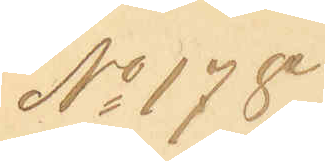No 178.
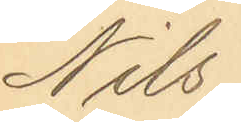Nils
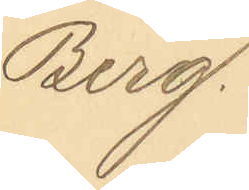Berg.
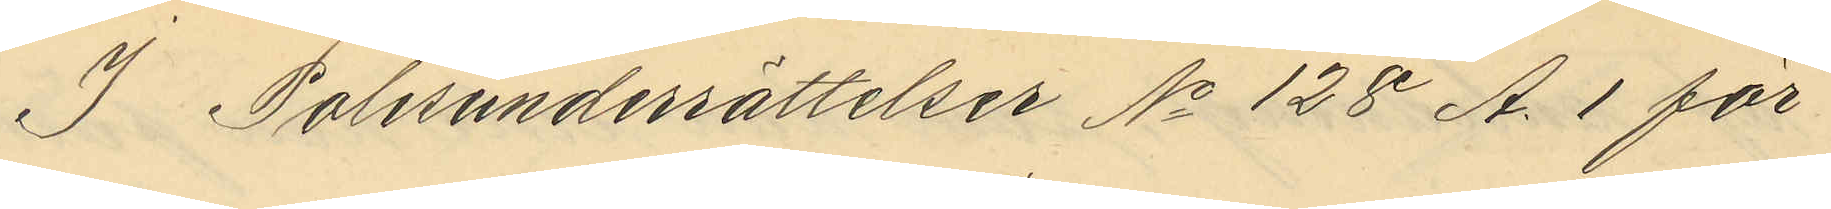I Polisunderrättelser No 128 A. 1 för
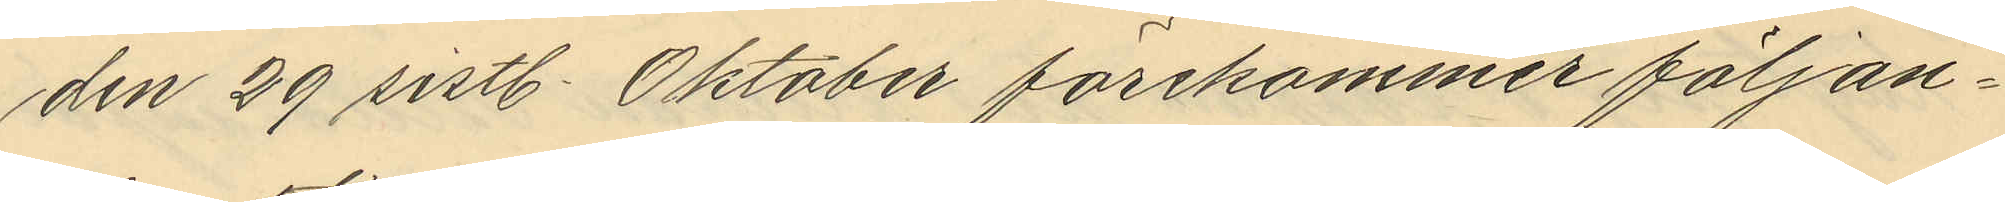den 29 sistl. Oktober förekommer följan¬
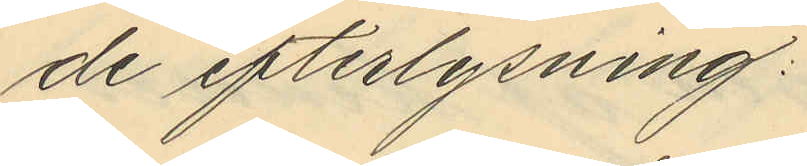de efterlysning
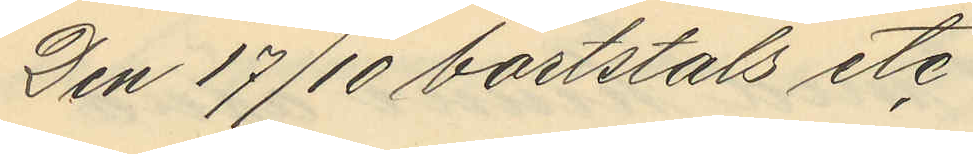Den 17/10 bortstals etc
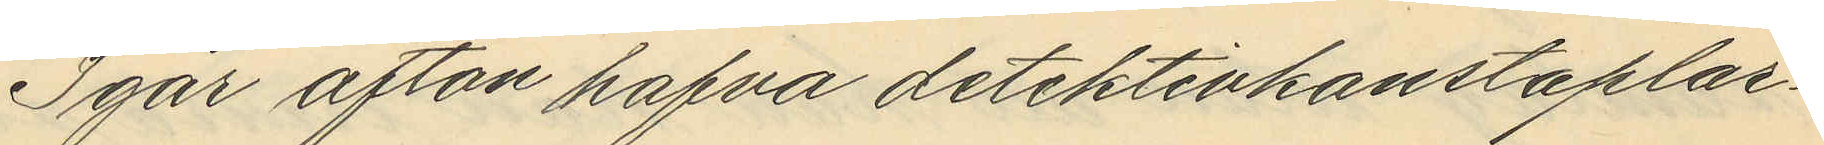Igår afton hafva detektivkonstaplar¬
